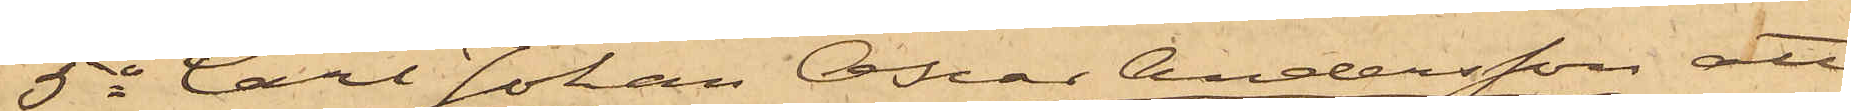5o Carl Johan Oscar Andersson att
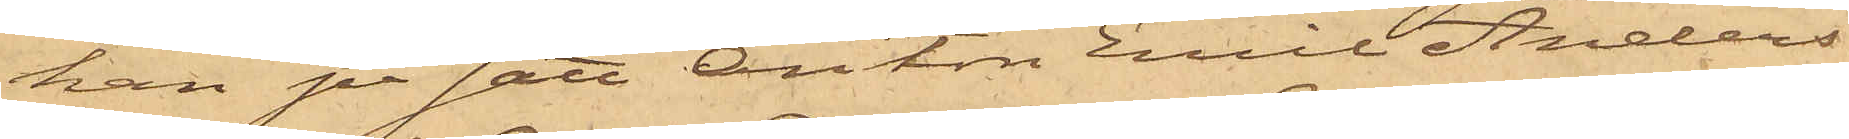han på sätt Anton Emil Anders¬
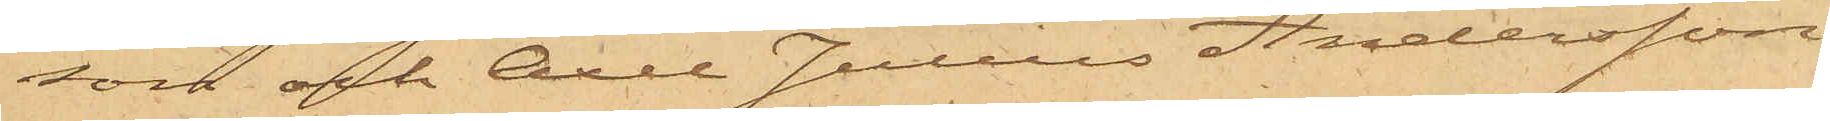son och Axel Julius Andersson
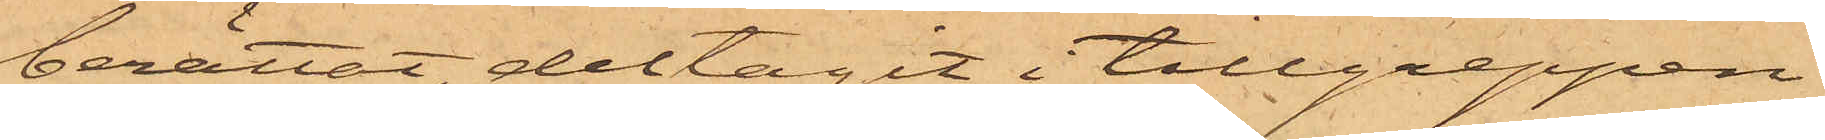berättat, deltagit i tillgreppen
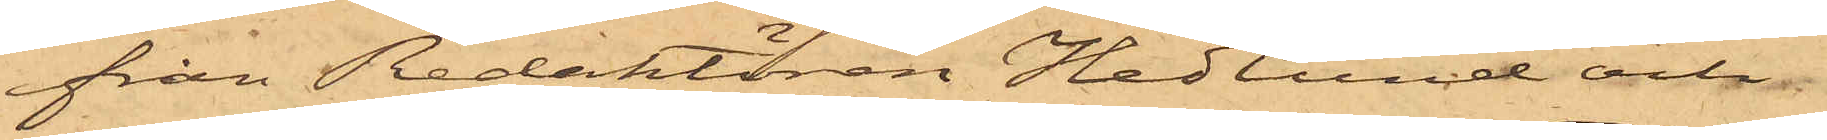från Redaktören Hedlund och
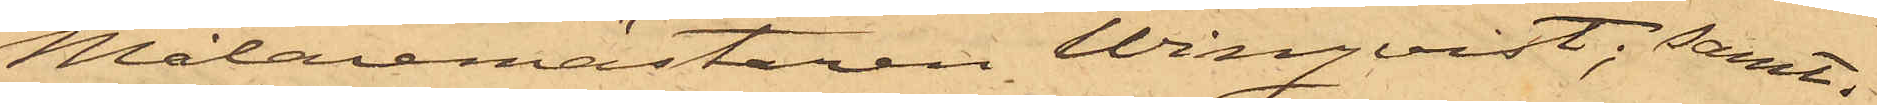Målaremästaren Winqvist; samt
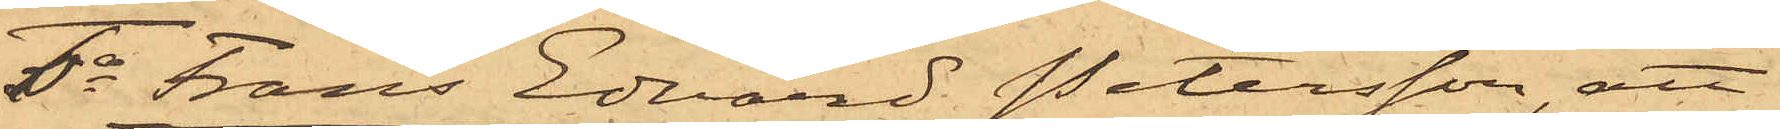6o Frans Edvard Petersson, att
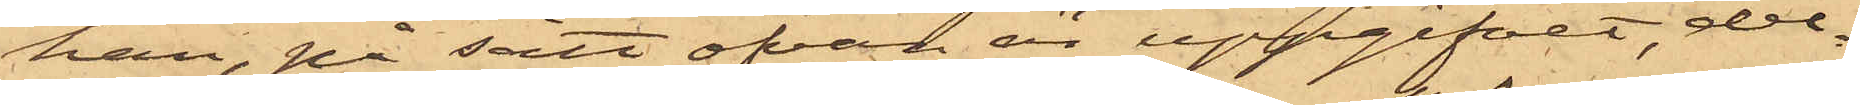han, på sätt ofvan är uppgifvet, del¬
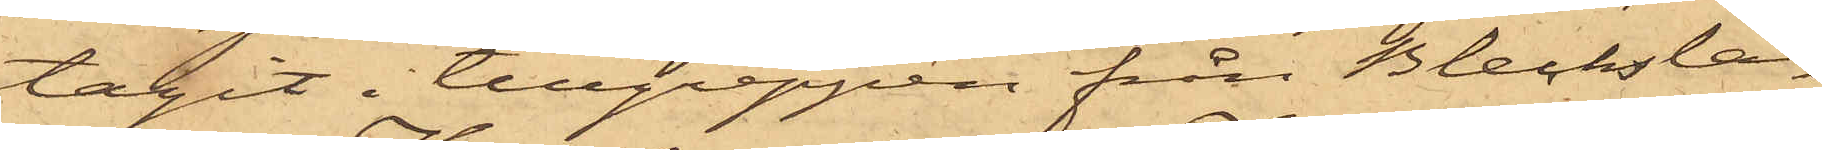tagit i tillgreppen från Blecksla¬
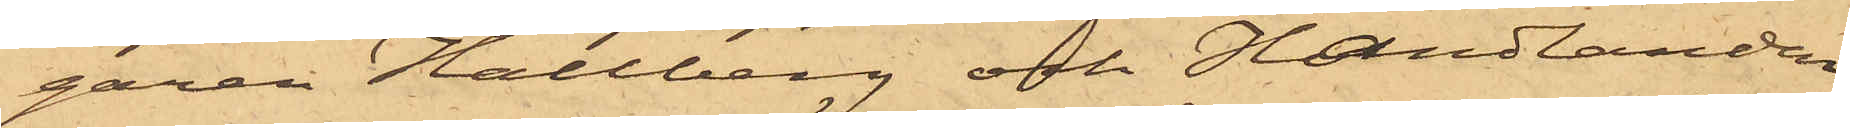garen Hallberg och Handlanden
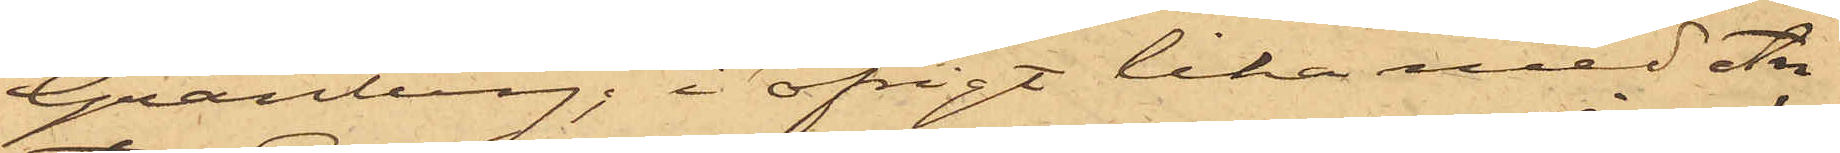Granberg; i öfrigt lika med An¬
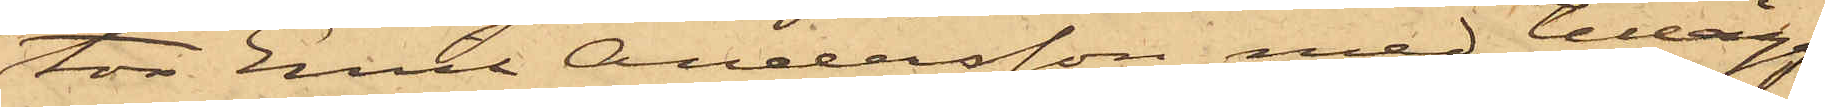ton Emil Andersson med tillägg
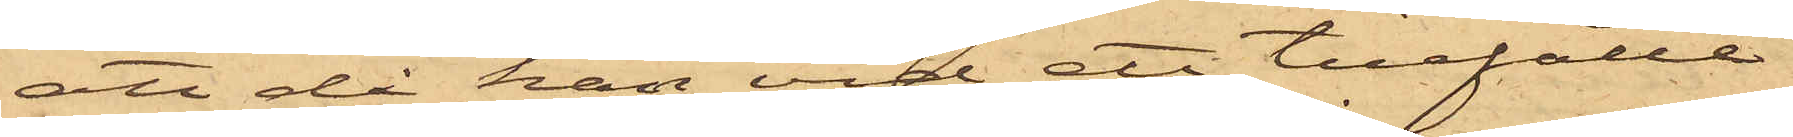att då han vid ett tillfälle
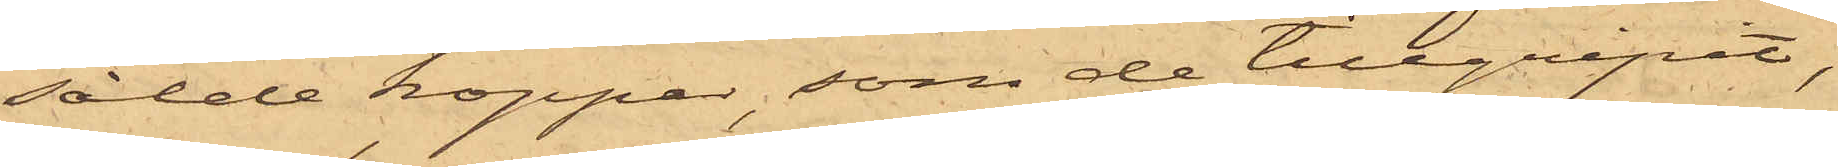sålde koppar, som de tillgripit,
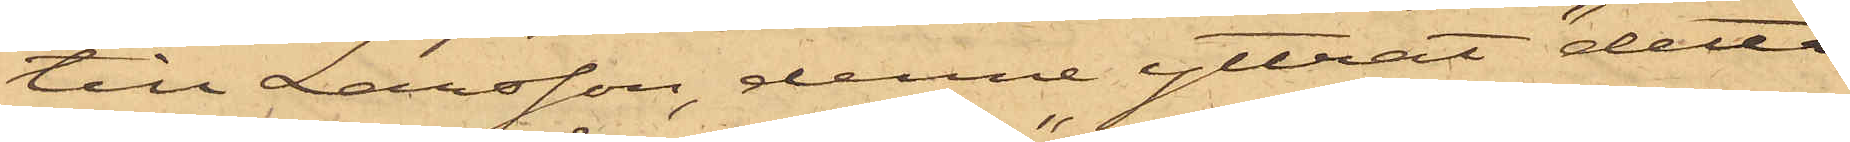till Larsson, denne yttrat "detta
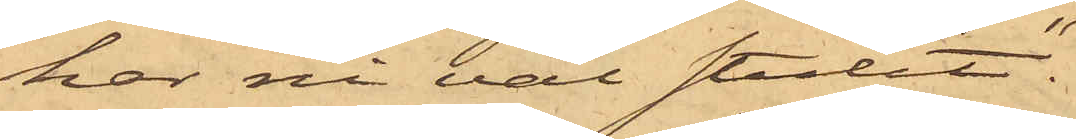har ni väl stulit".
